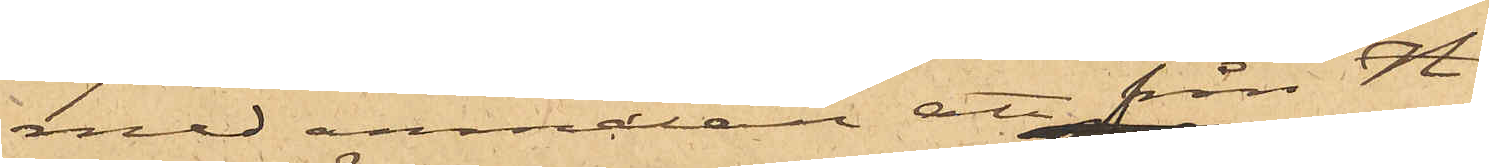med anmälan att från "H.
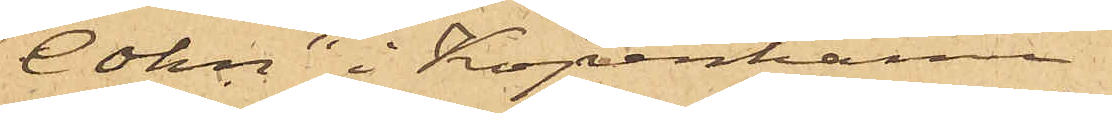Cohn" i Köpenhamn
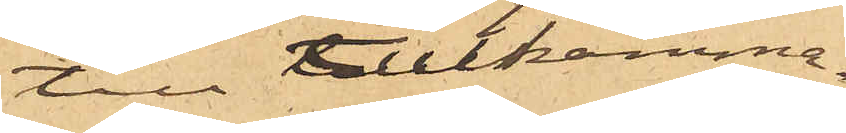till Tullkamma¬
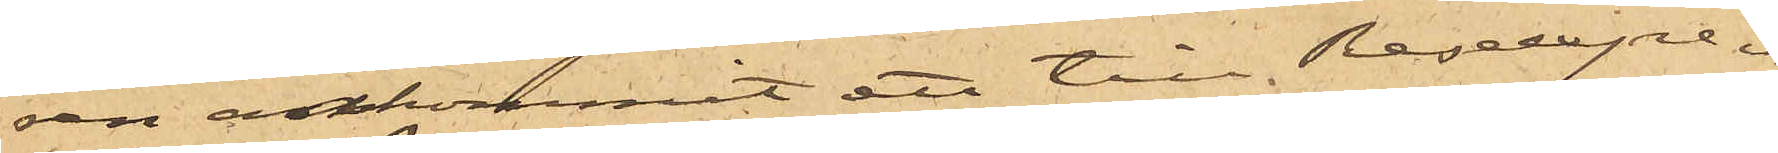ren ankommit att till Reseexpe¬
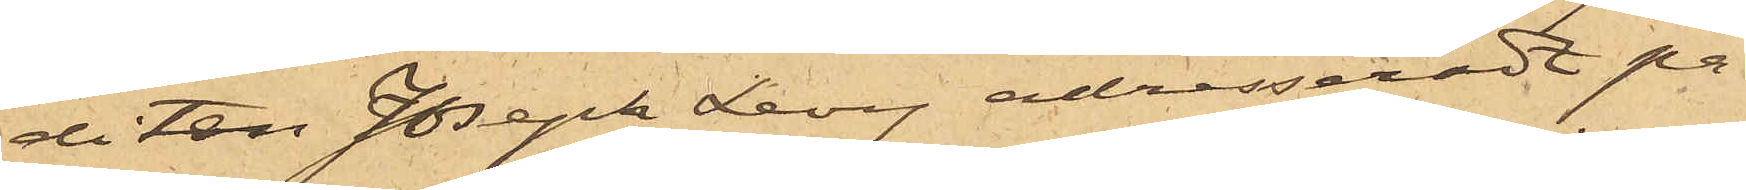diten Joseph Levy adresseradt pa¬
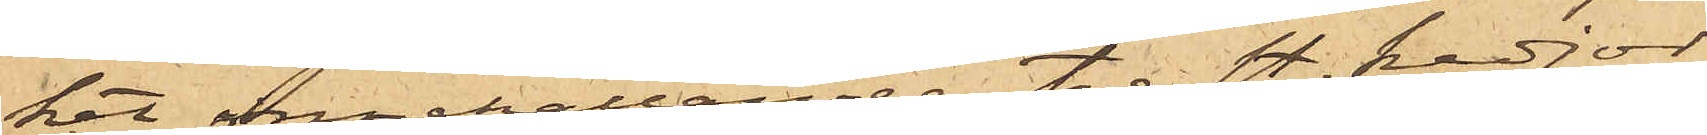ket innehållande tre st. kedjor,
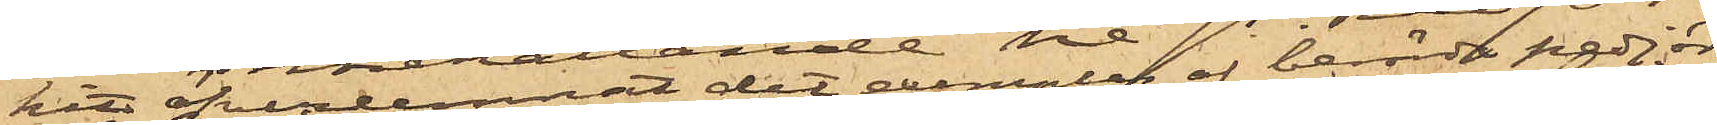hit öfverlemnat det exemplar af berörda kedjor
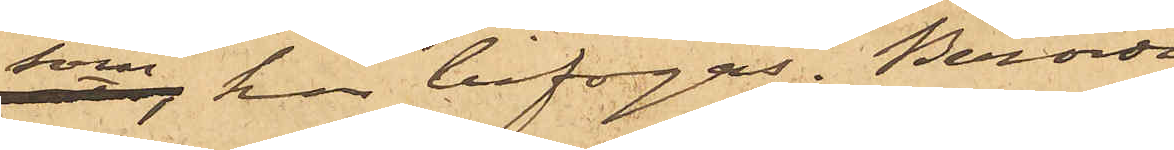som här bifogas. Berörda
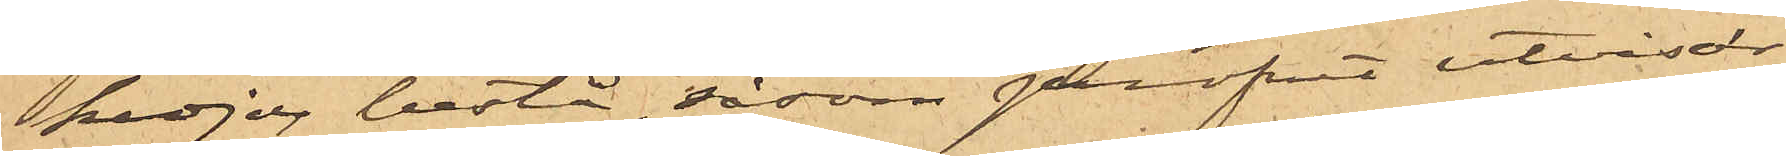kedjor bestå, såsom profvet utvisar,
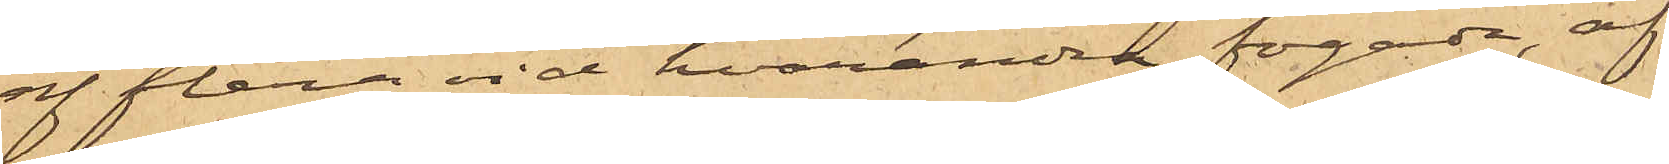af flera vid hvarandra fogade, af
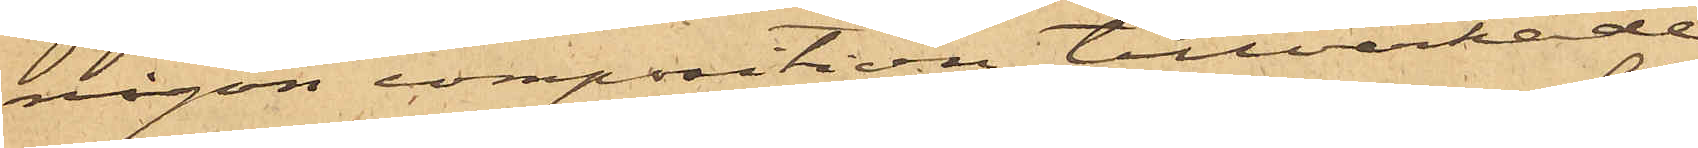någon composition tillverkade
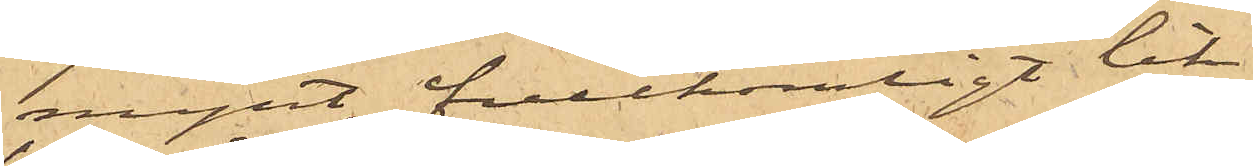mynt, fullkomligt lik¬
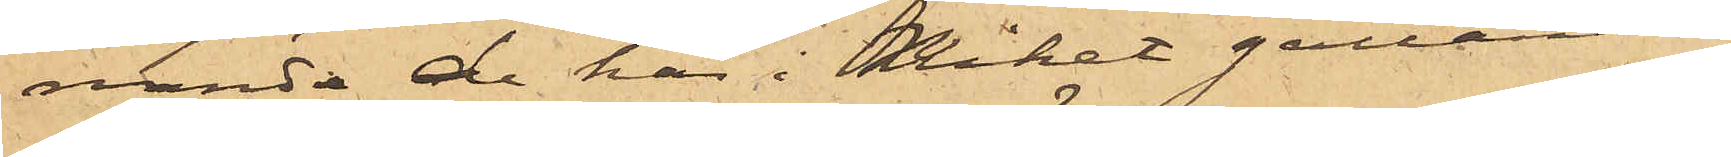nande de här i Riket gällande
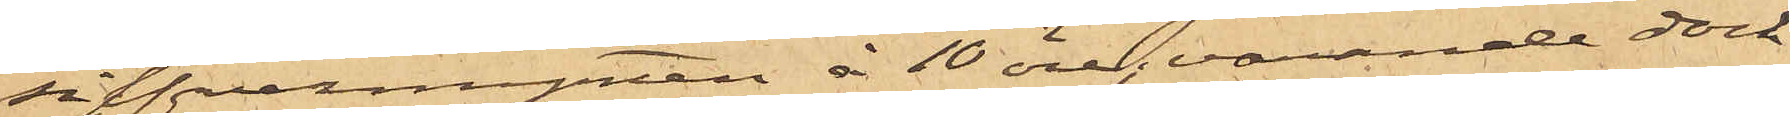silfvermynten à 10 öre, varande dock
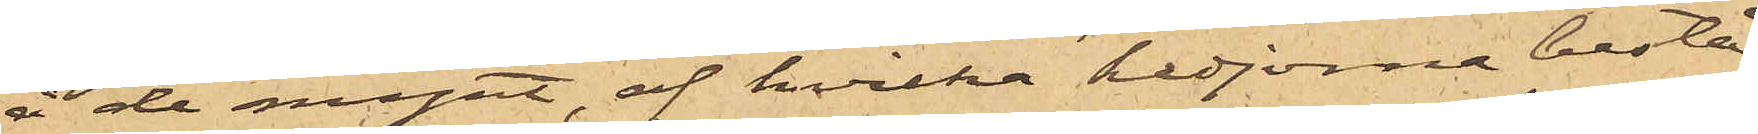å de mynt, af hvilka kedjorna bestå,
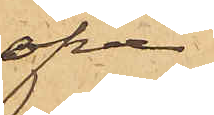öfver
